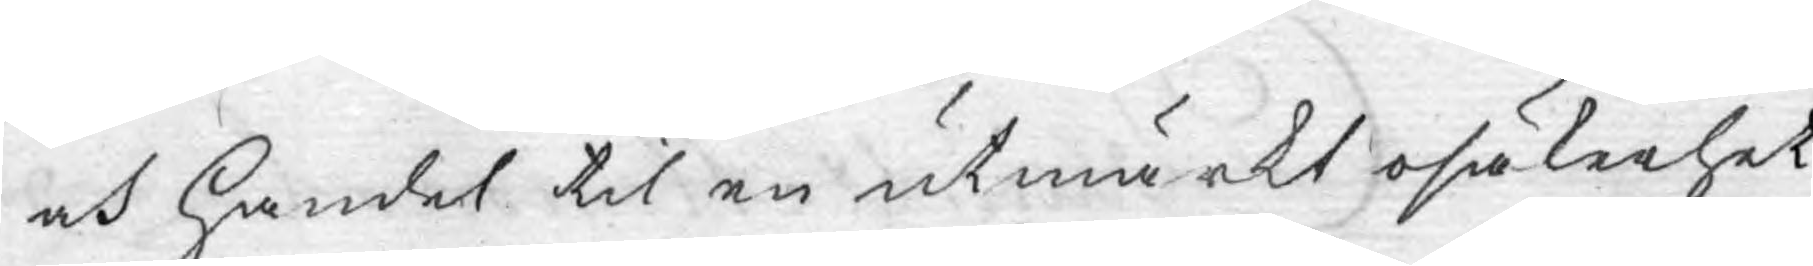och handel til en utmärkt osäkerhet.
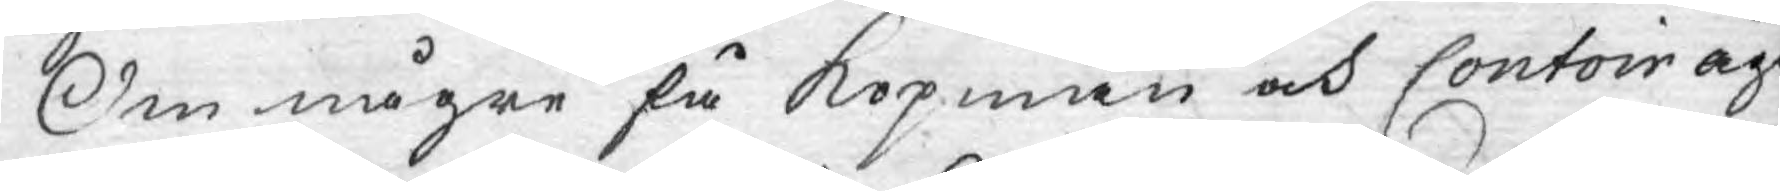Om någre få köpmän och Contoir äge
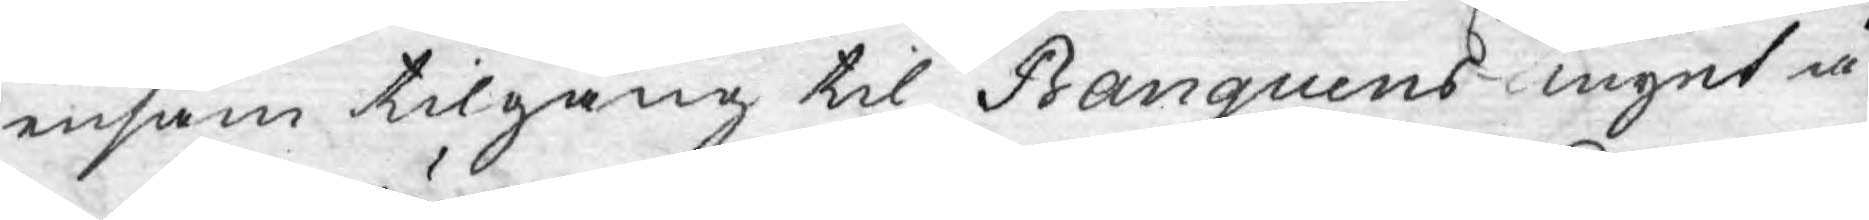ensam tilgång til Banquens mynt å
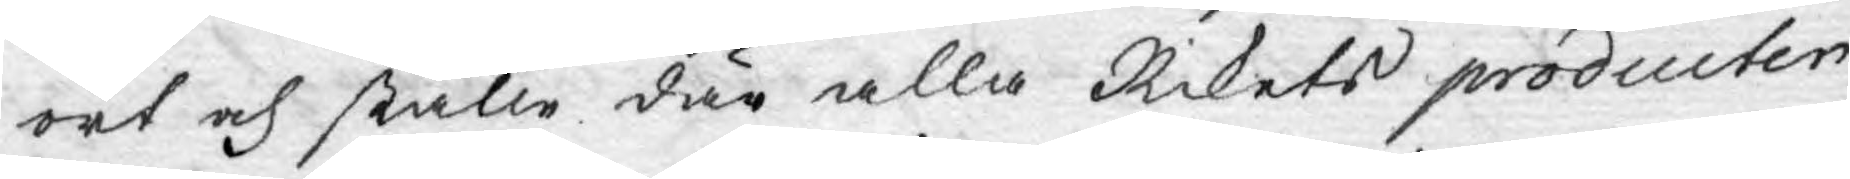ort och ställe där alla Rikets producter
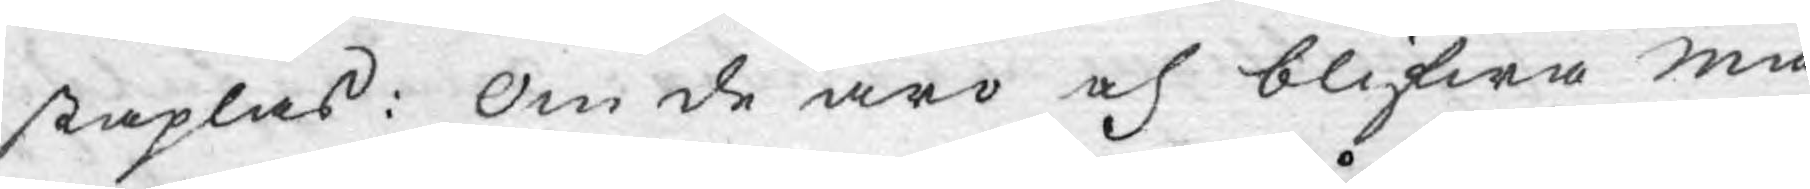staplas: Om de äro och blifwa mä¬
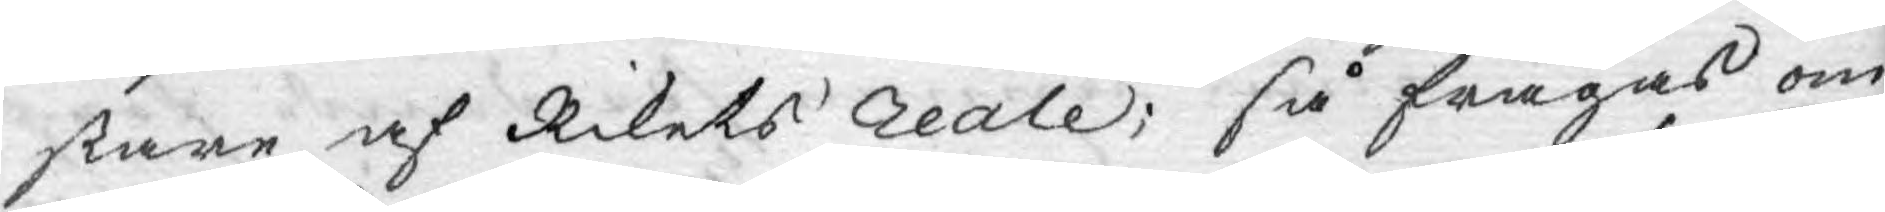stare af Rikets reale; så frågas om
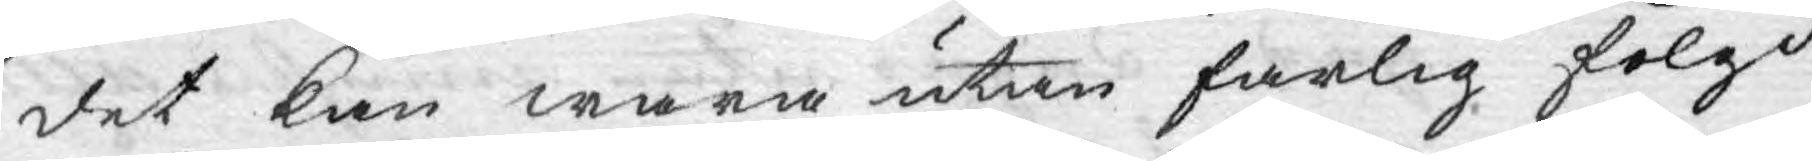det kan wara utan farlig fölgd
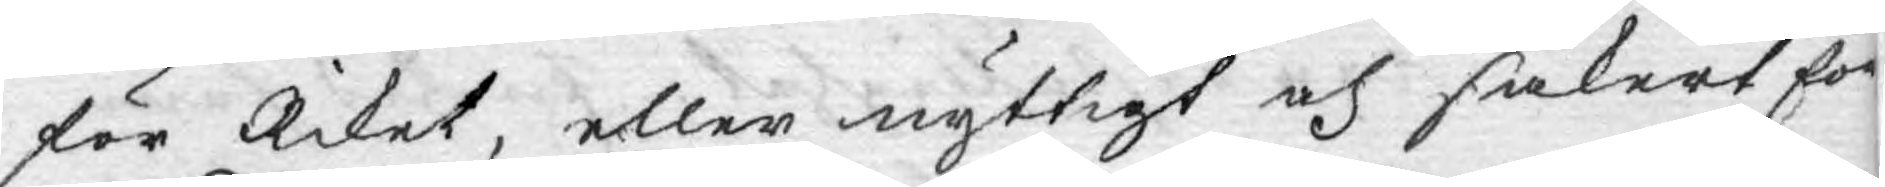för Riket, eller nyttigt och säkert för
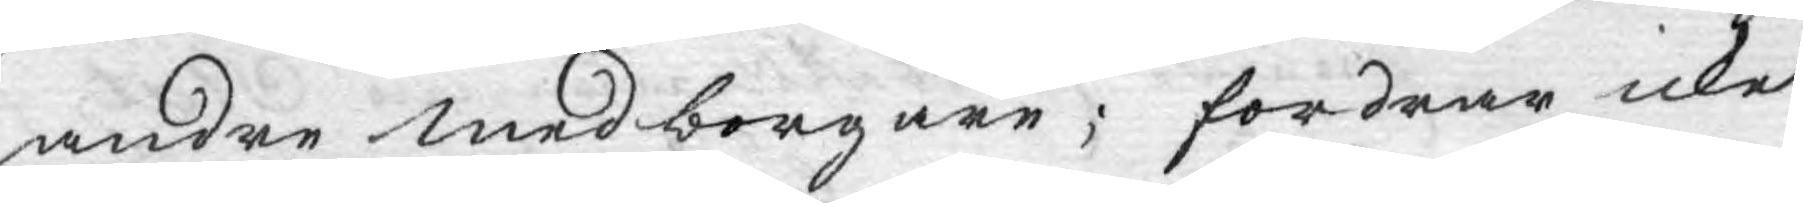andre medborgare; fordrar icke
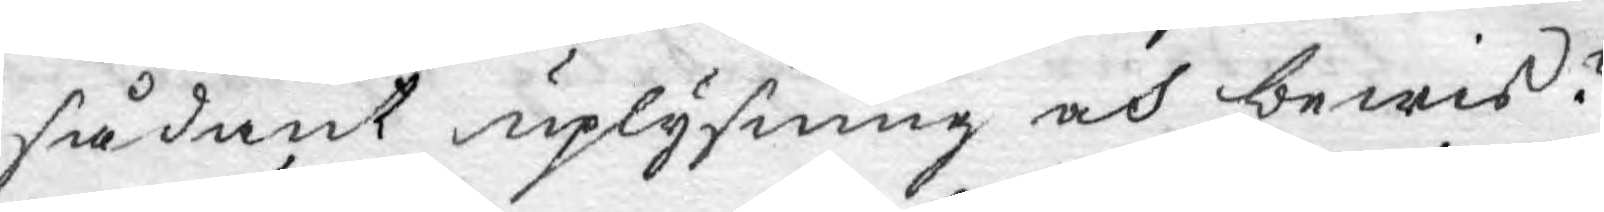sådant uplysning och bewis?
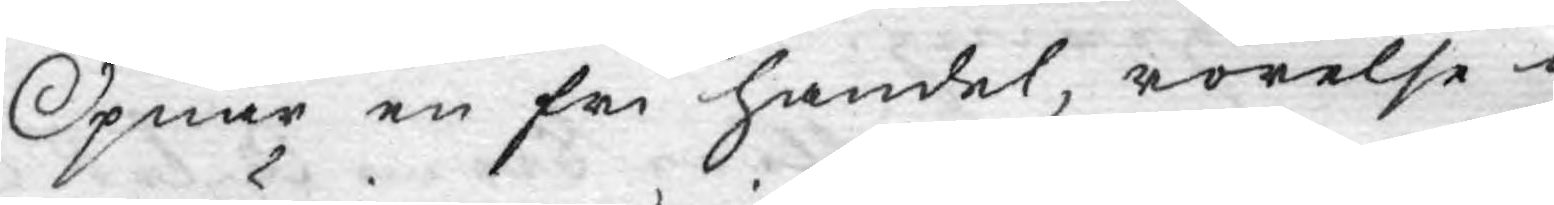Öpnar en fri handel, rörelse i
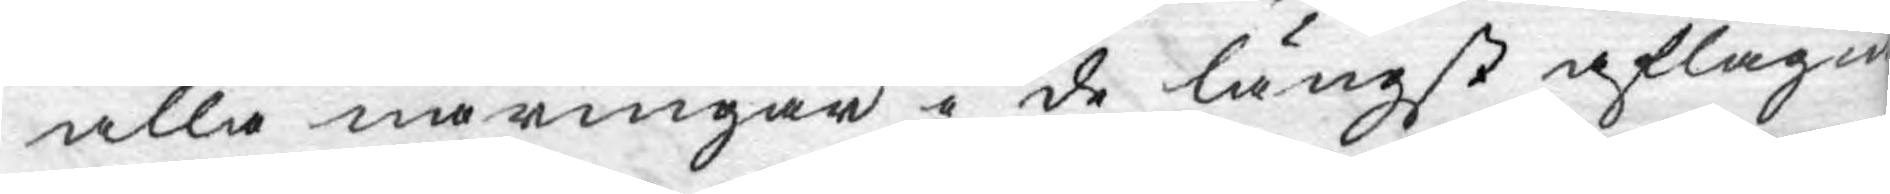alla näringar i de längst aflägne
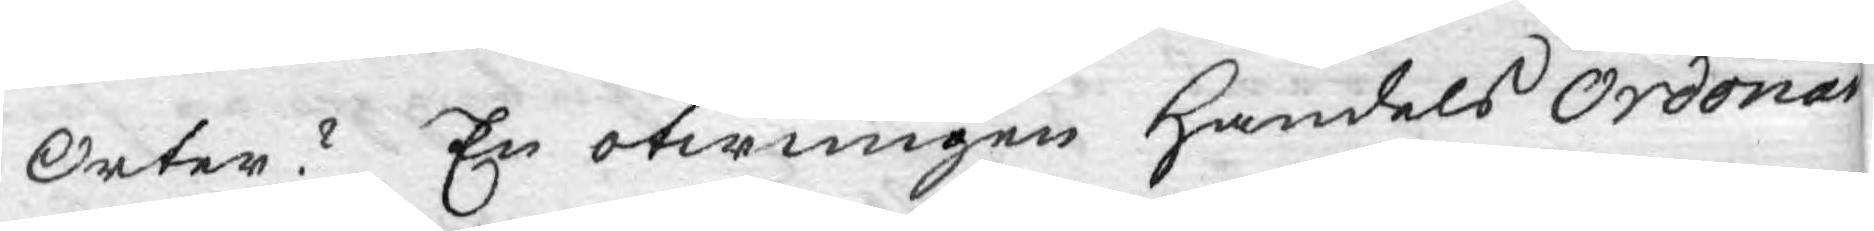Orter? En otwungen Handels Ordonan¬
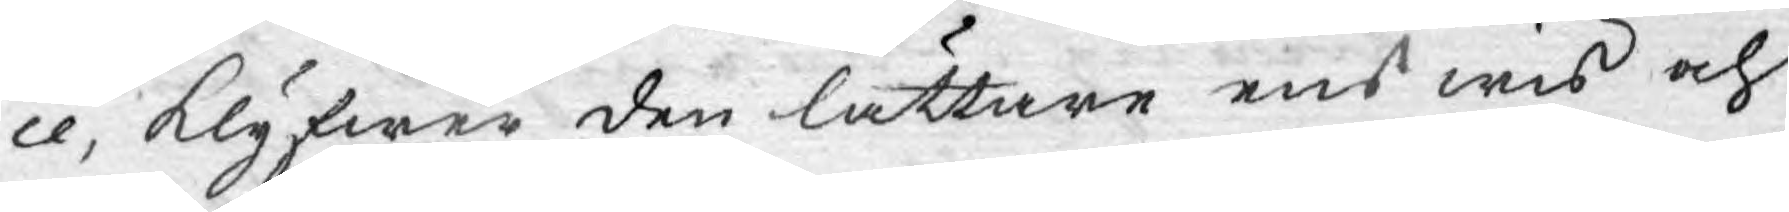ce, klyfwer den lättare ens wis och
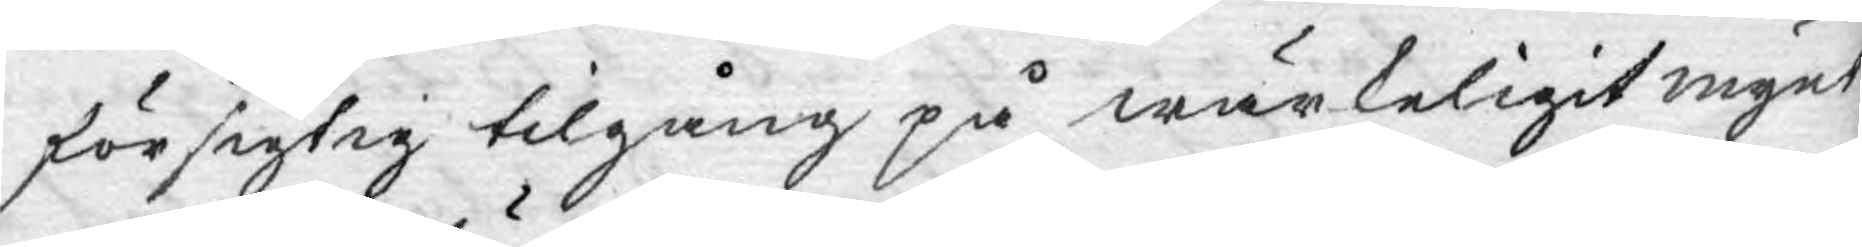försigtig tilgång på wärkeligit mynt
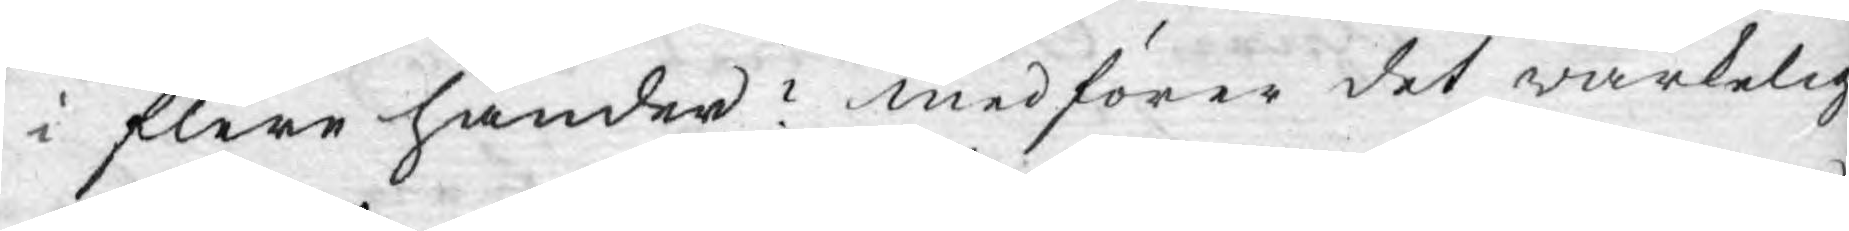i flere händer? medförer det wärkelig
